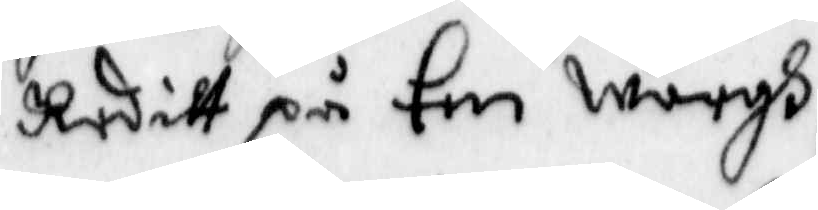Reditt på Een Wargh,
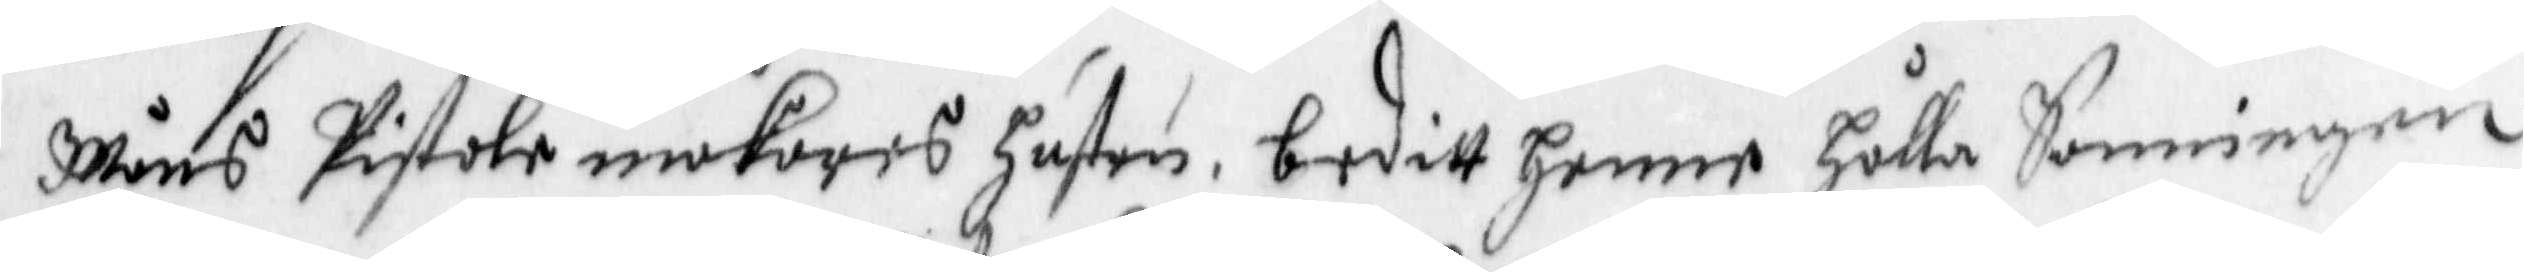Måns Pistole makares Hustru, beditt henne hålla Sanningen
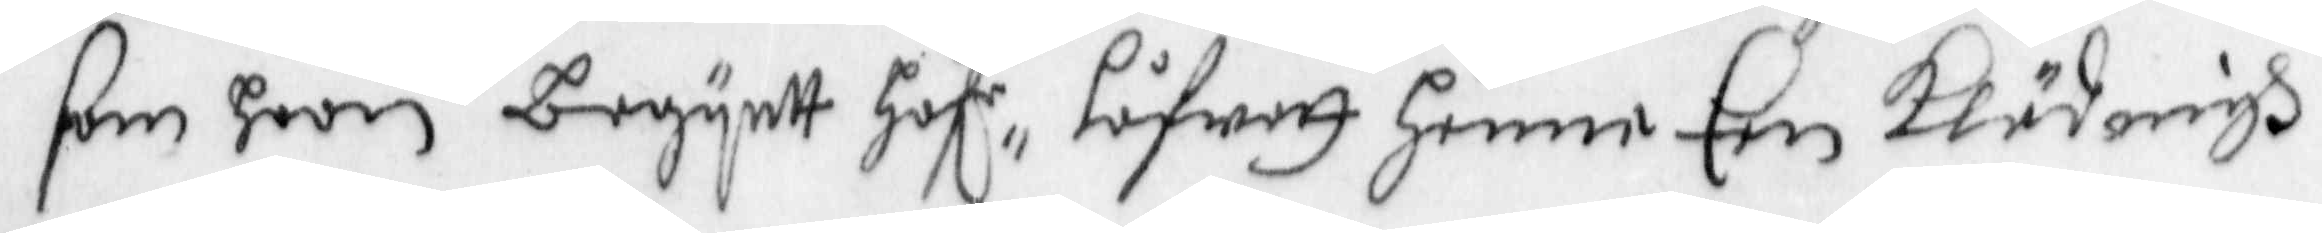som hoon begynt hafr, Låfwett Henne Een Klädnigh¬
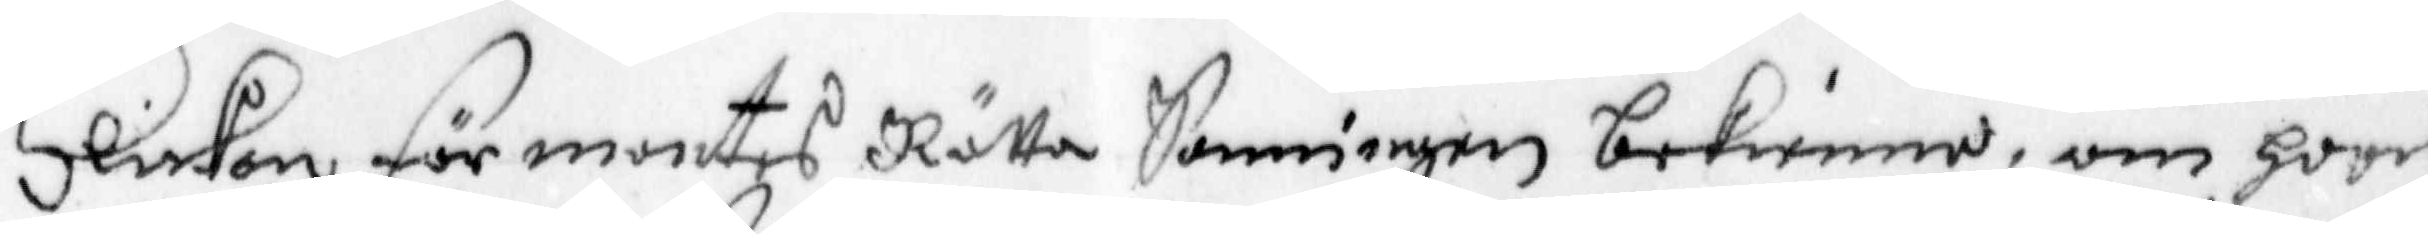Flickan förmantes Rätta Sanningen bekienna, om hoon
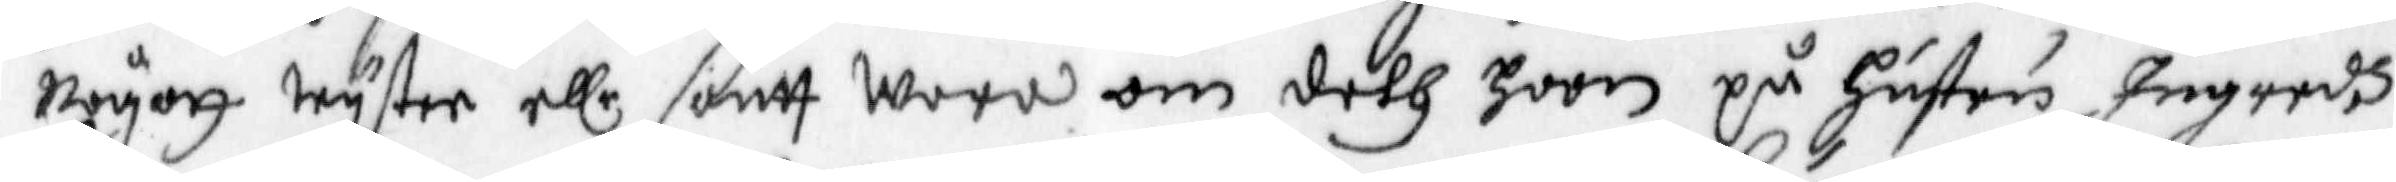någott wyster eller sant wara om deth hoon på Hustru Ingredh
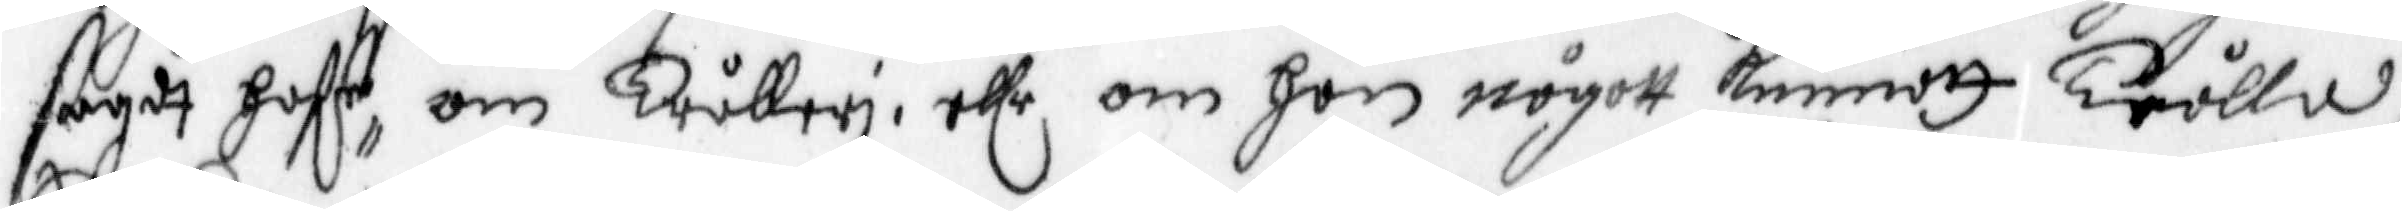sagdt hafft om Trålleri ellr om hon någott kunnatt Trålla,
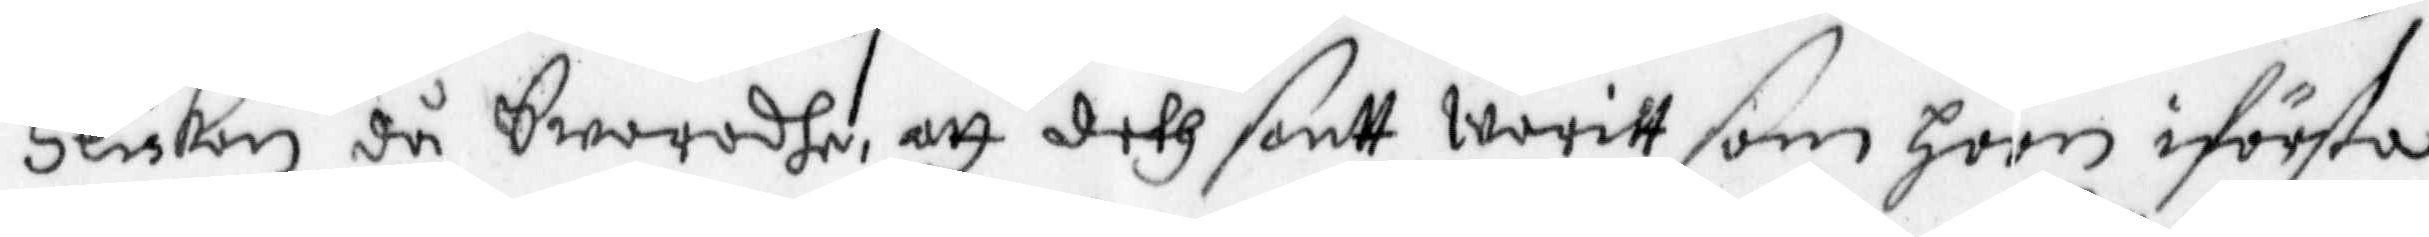Flickan då Swaradhe, att deth santt waritt som hon iförsta
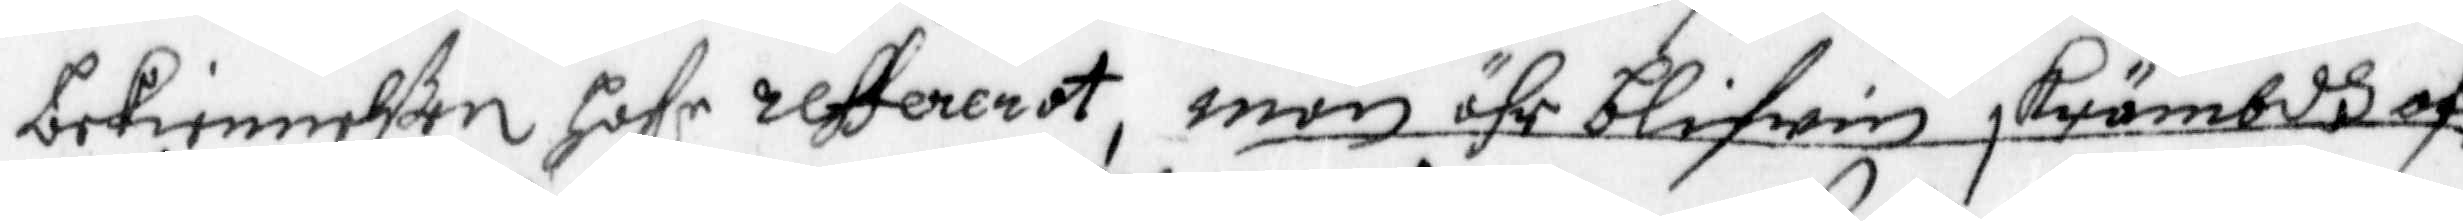bekiennelsen hafr refererat, män ähr blifwen skrämbdh af
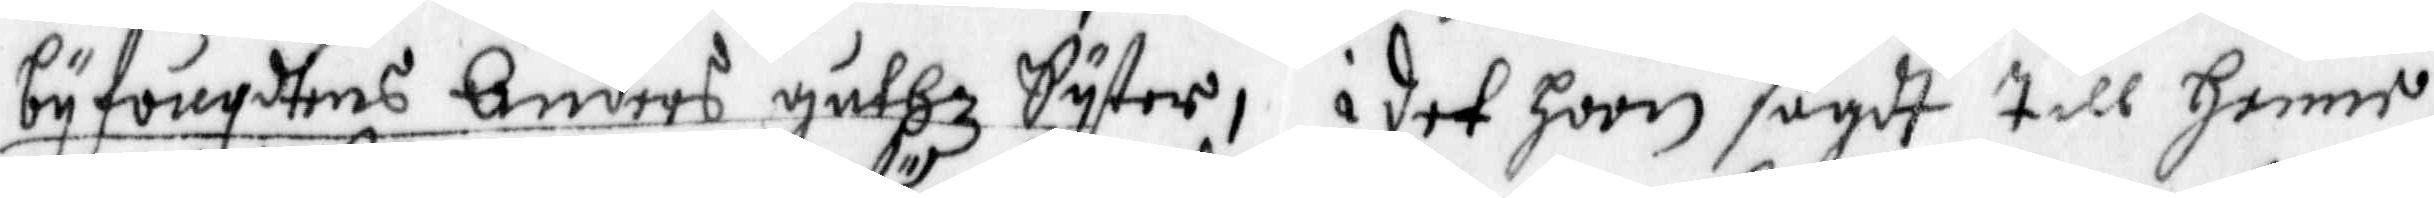byfougdens Anders guthz Syster, i det hoon sagdt till Henne
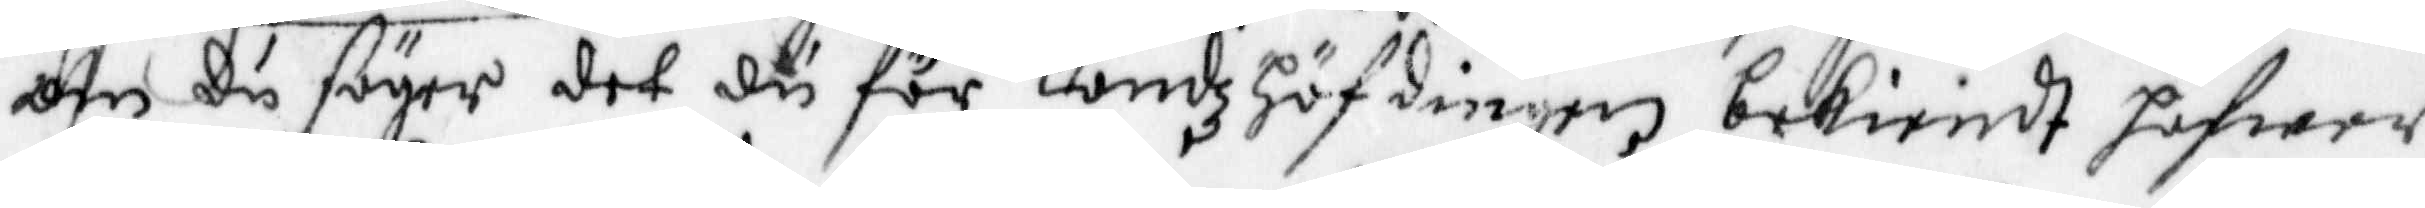om du säger det du för Landzhöfdingen bekiendt hafwer,
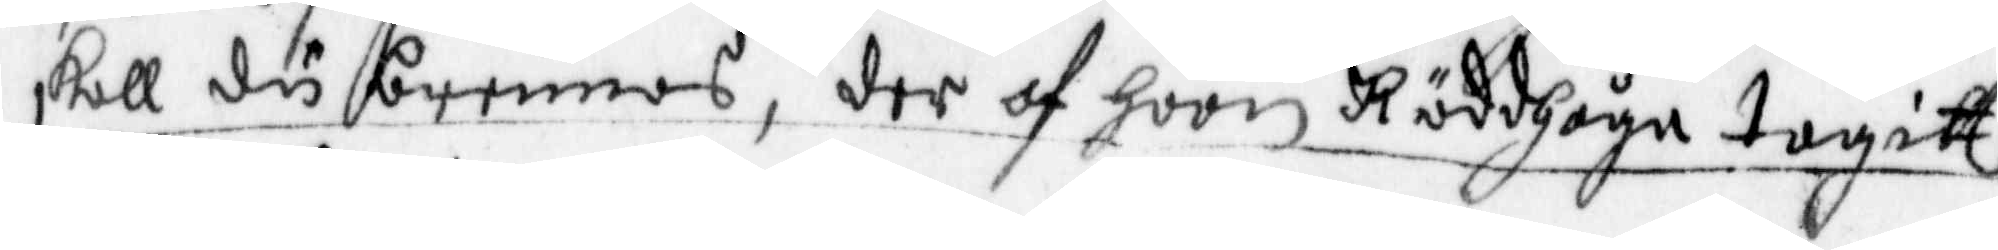skall du brennas, der af hoon Räddhåga tagitt,
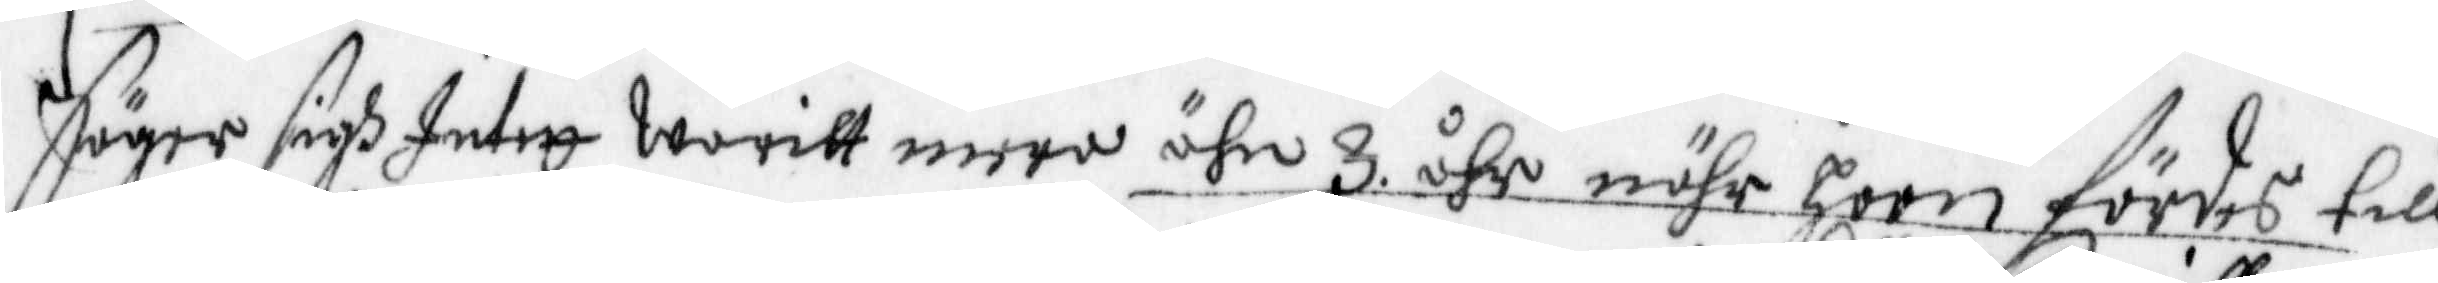Säger sigh Intett waritt mera ähn 3 åhr nähr hoon fördes till
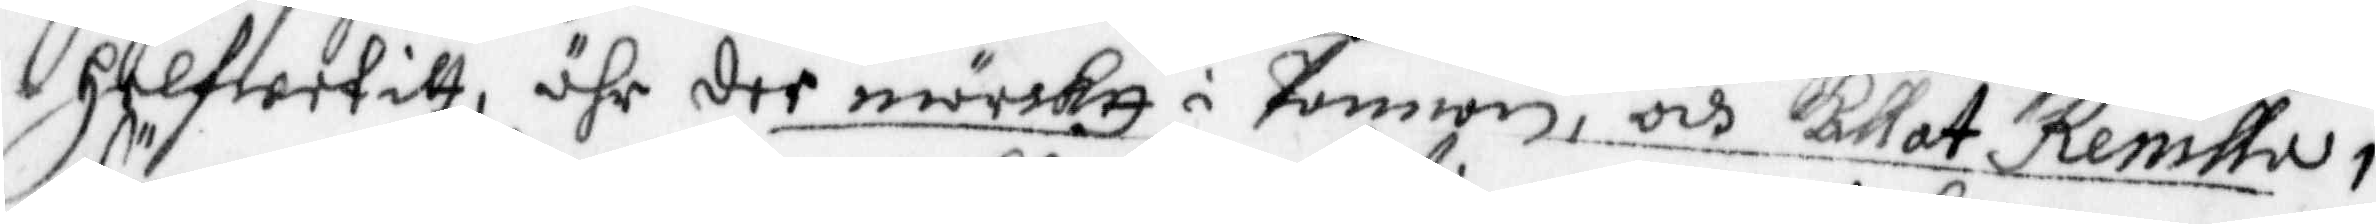helfwetitt, ähr der märcktt i Pannan, och kallat Renilla;
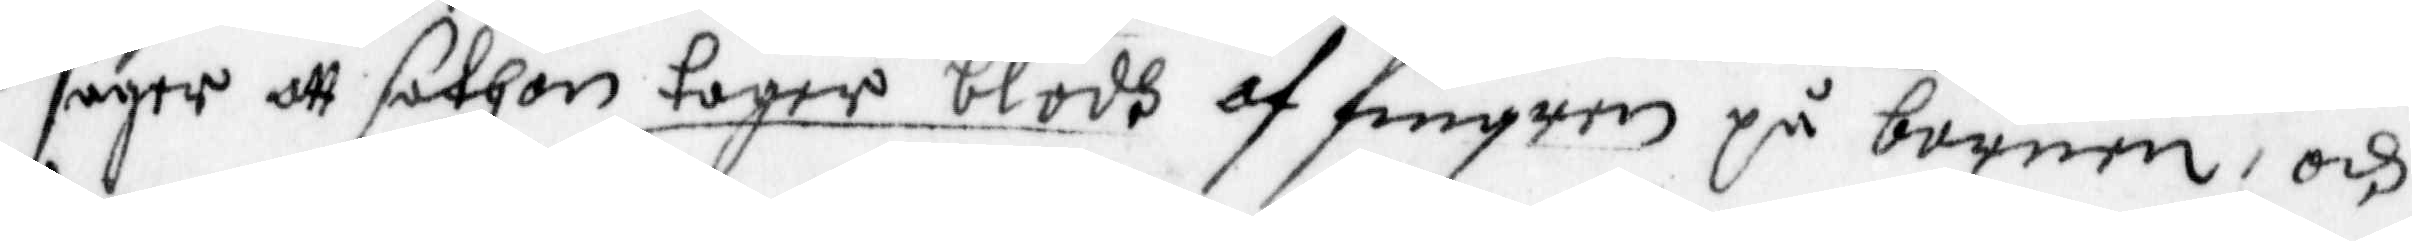säger att sathan tager blodh af fingren på barnen, och
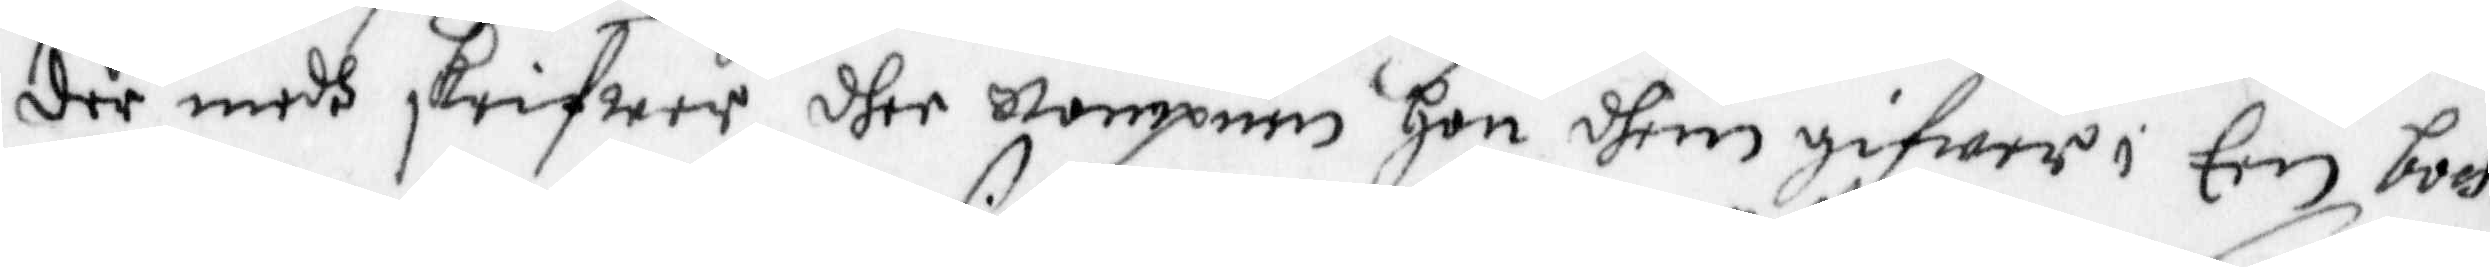der medh skrifwer dhee Nampnen Han dhem gifwer i Een bock
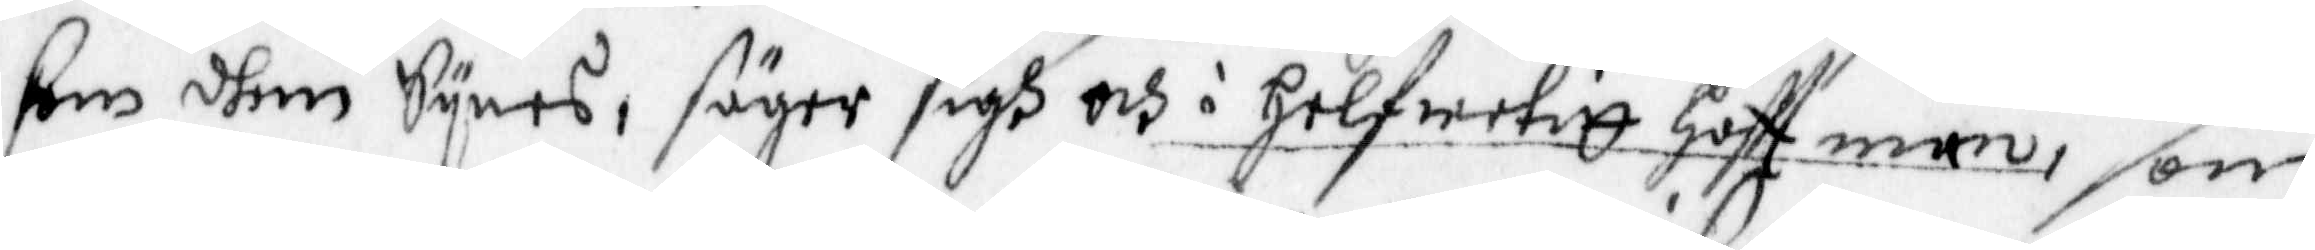som dhem Synes, säger sigh och i Helfwetitt haftt man, som
